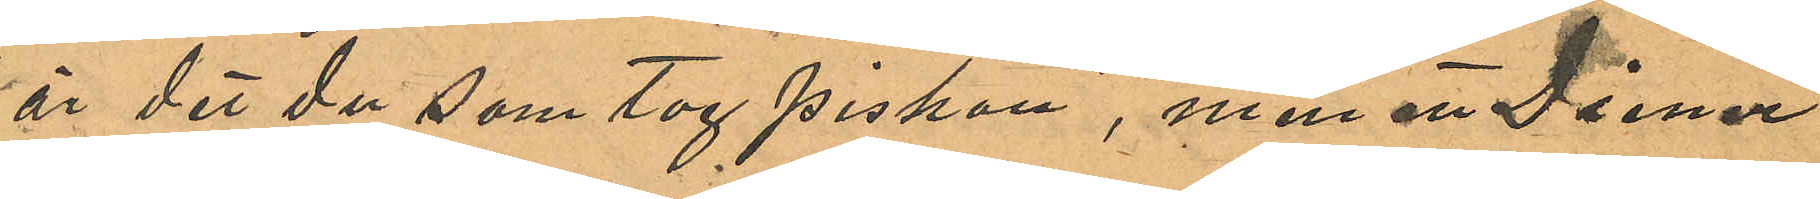"är det du som tog piskan", men att Diener
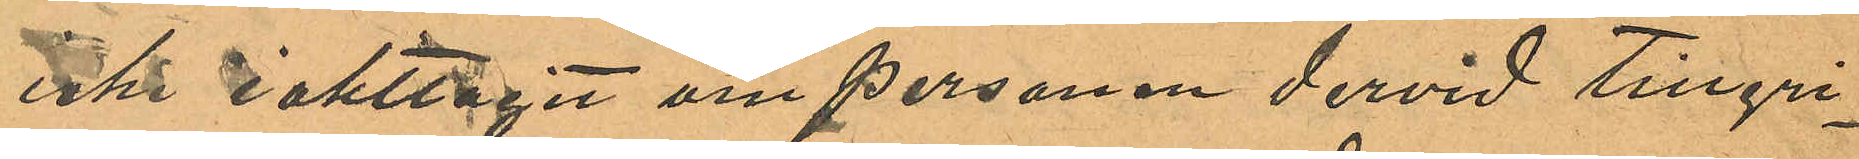inte iakttagit om personen dervid tillgri¬
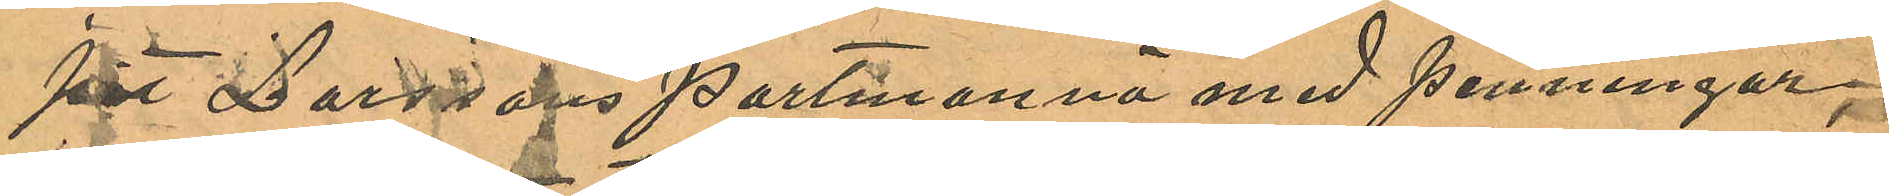pit Larssons portmonnä med penningar,
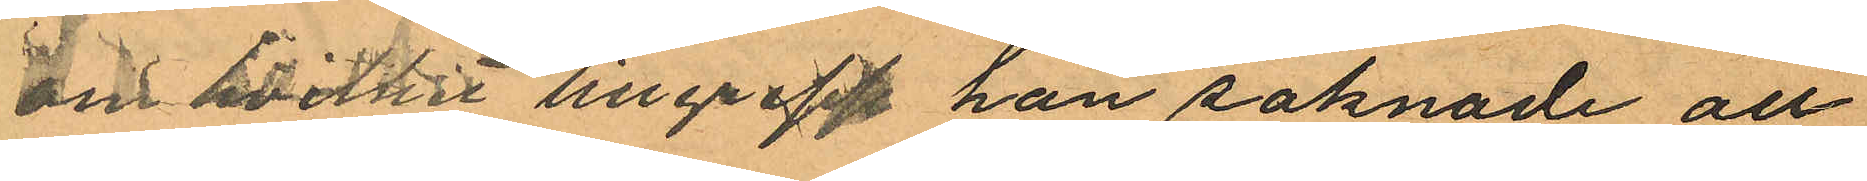om hvilket tillgrepp han saknade all
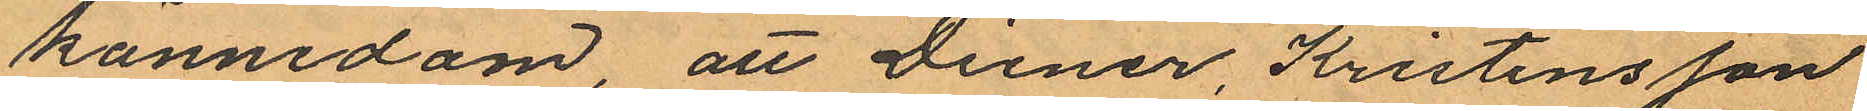kännedom att Diener, Kristensson
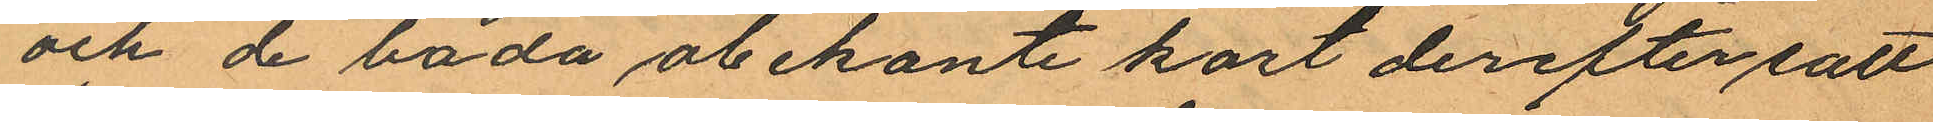och de båda obekante kort derefter satt
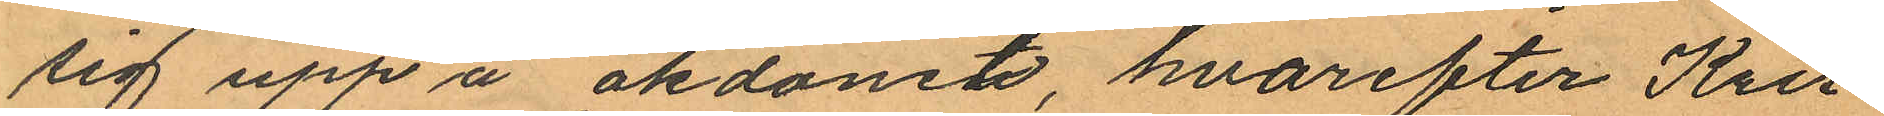sig upp å åkdonet, hvarefter Kris¬
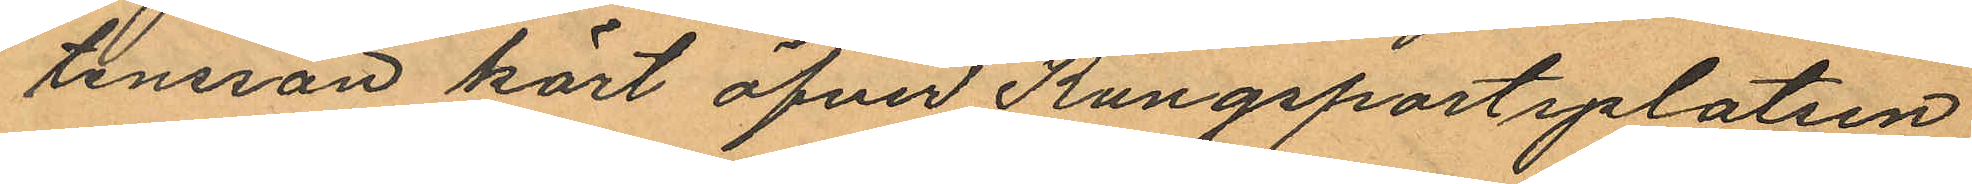tensson kört öfver Kungsportsplatsen
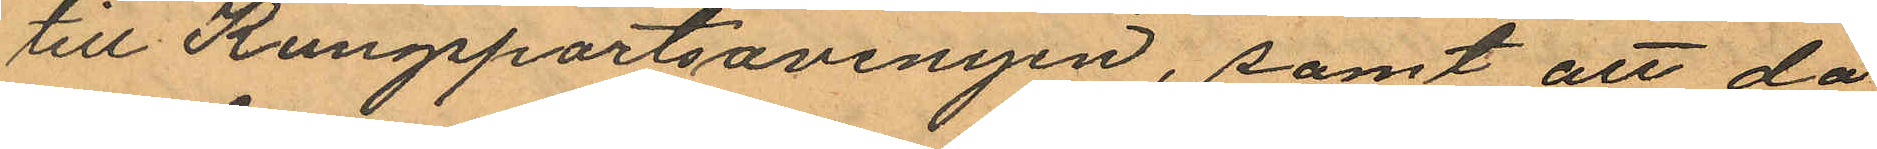till Kungsportsavenyen, samt att då
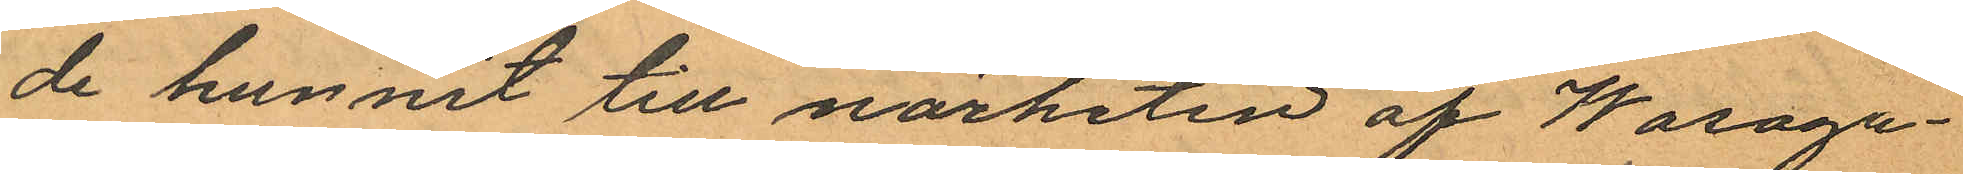de hunnit till närheten af Wasaga¬
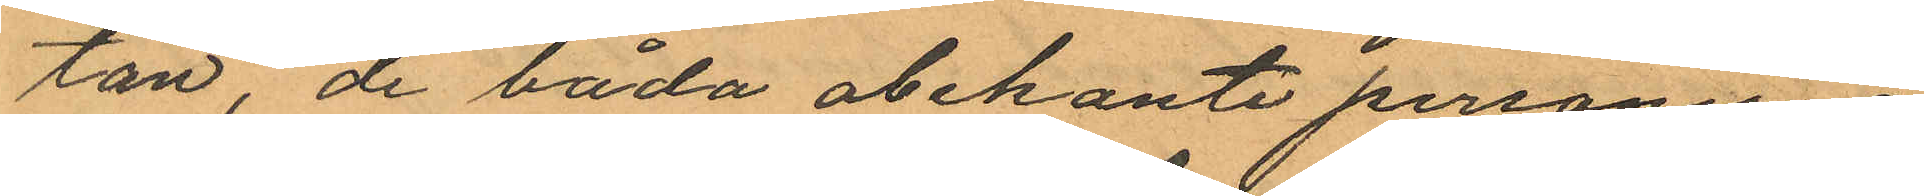tan, de båda obekante personerna
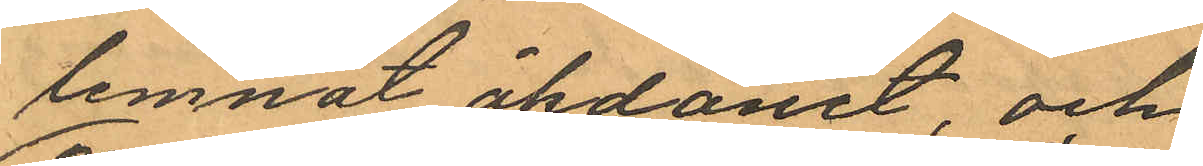lemnat åkdonet, och
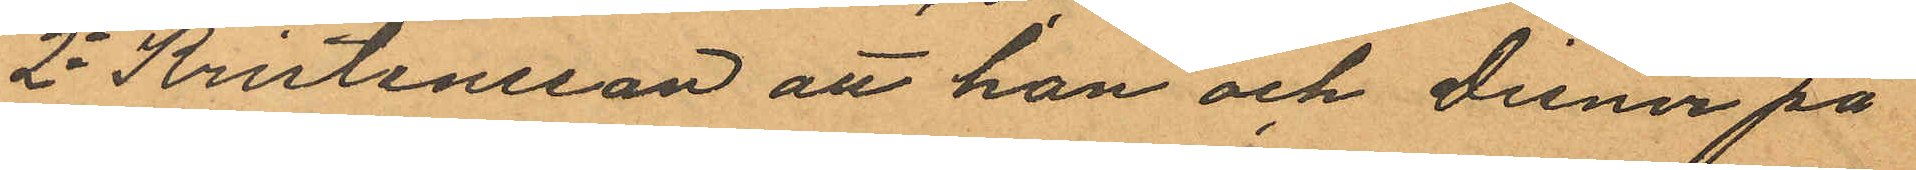2o Kristensson att han och Diener på
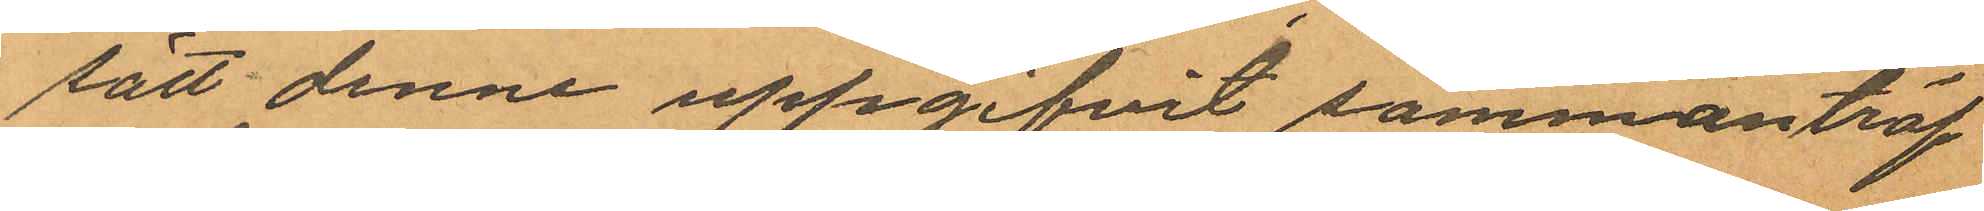sätt denne uppgifvit sammanträf¬
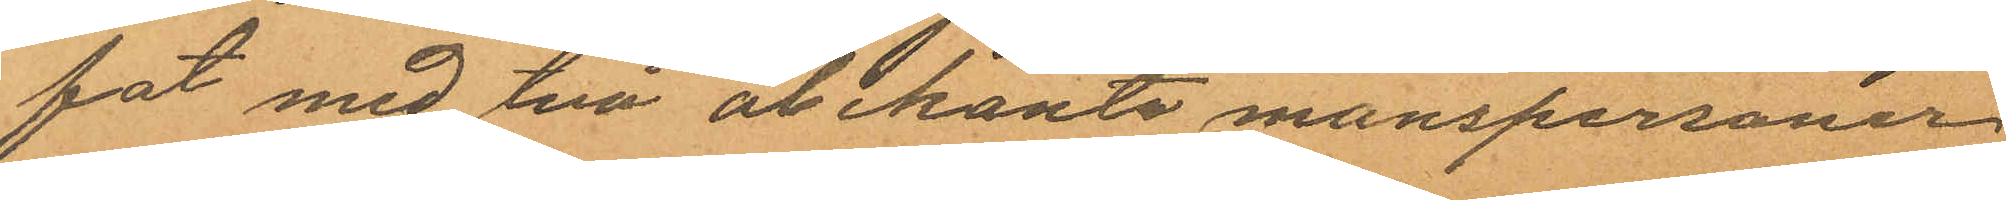fat med två obekanta manspersoner
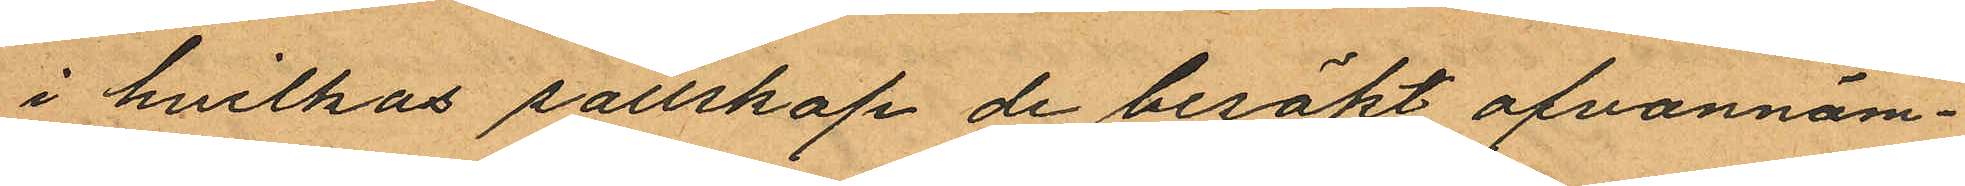i hvilkas sällskap de besökt ofvannäm¬
